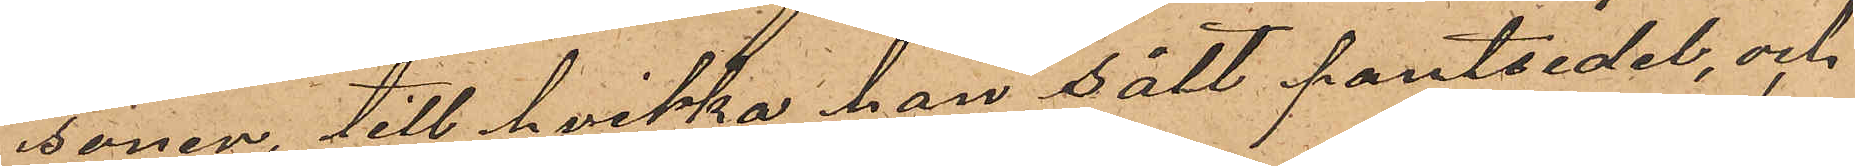sonen, till hvilka han sålt pantsedel, och
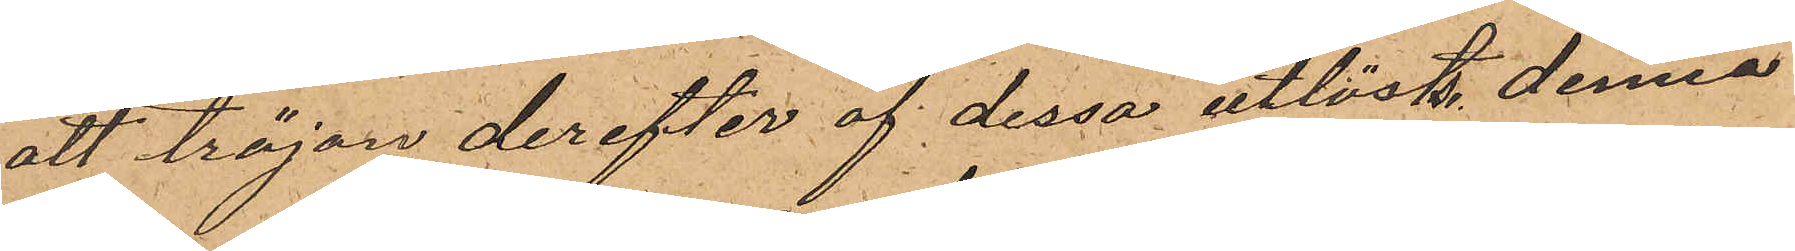att tröjan derefter af dessa utlösts. Denna
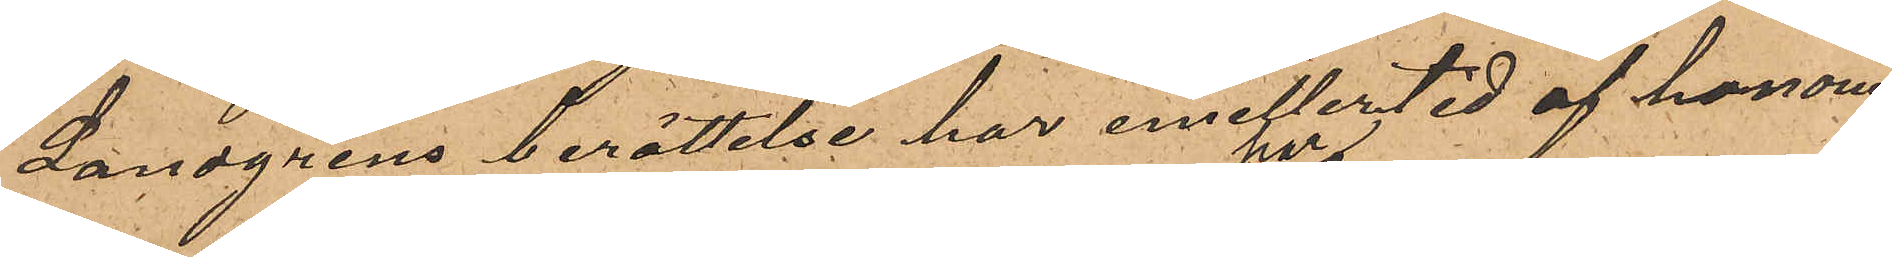Landgrens berättelse har emellertid af honom
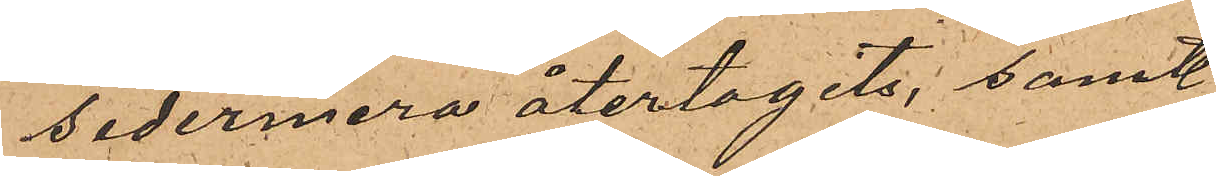sedermera återtagits, samt
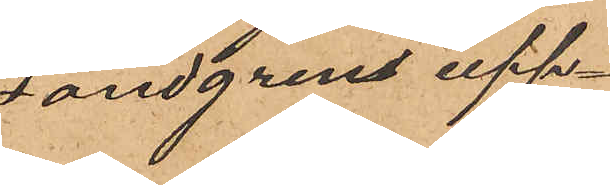Landgren upp¬
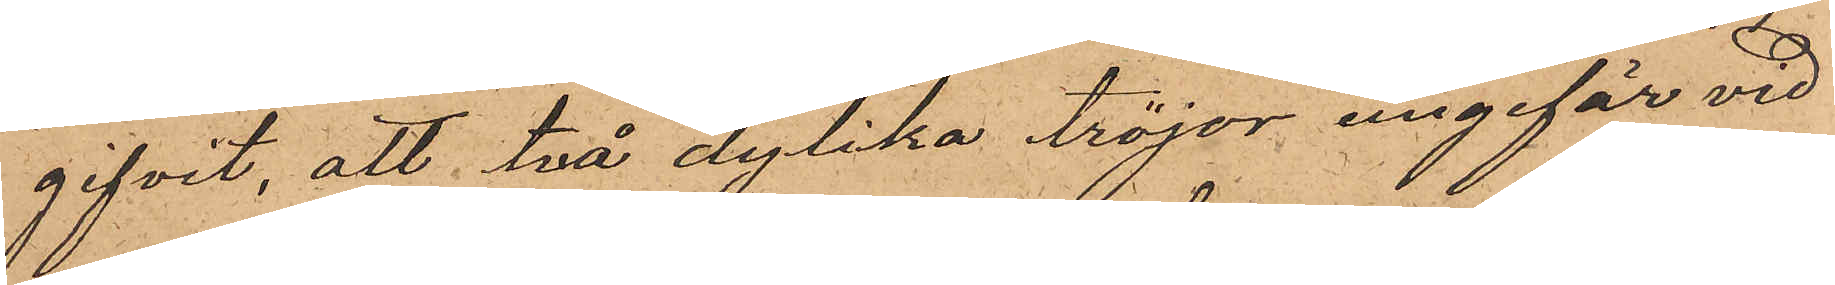gifvit, att två dylika tröjor ungefär vid
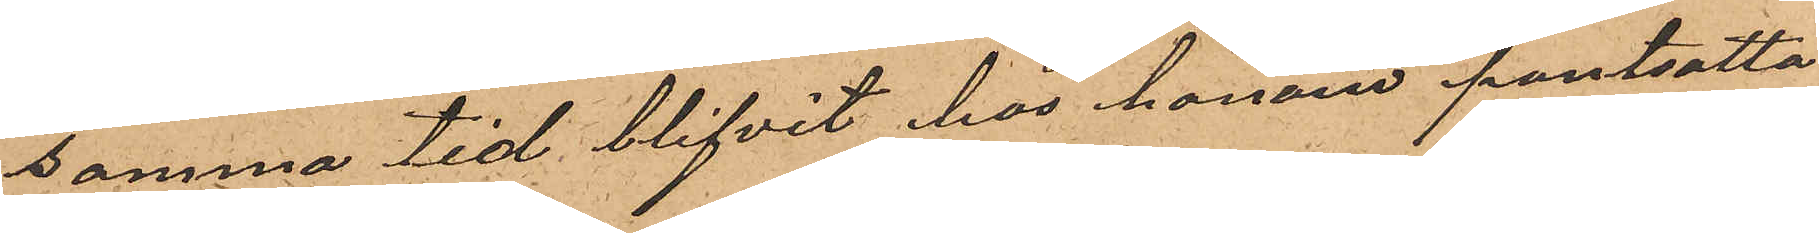samma tid blifvit hos honom pantsatta
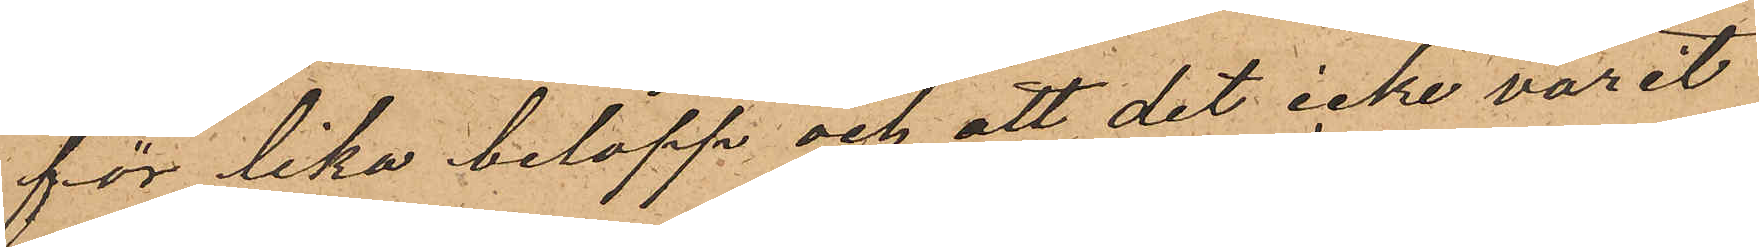för lika belopp och att det icke varit
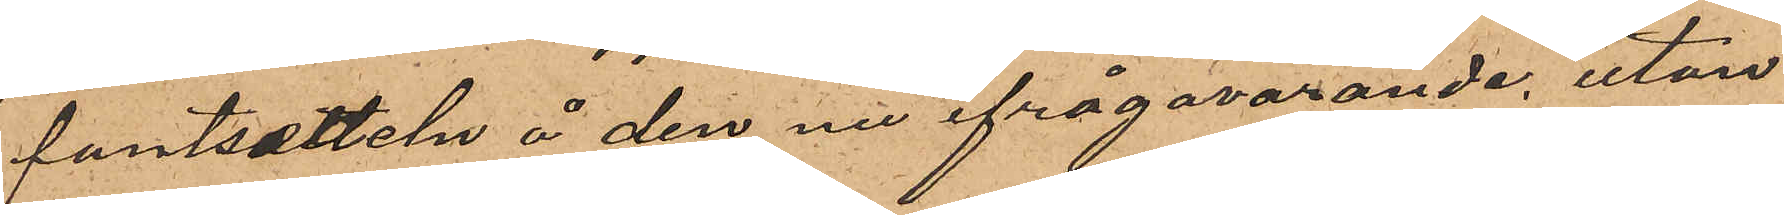pantsedeln å den nu ifrågavarande, utan
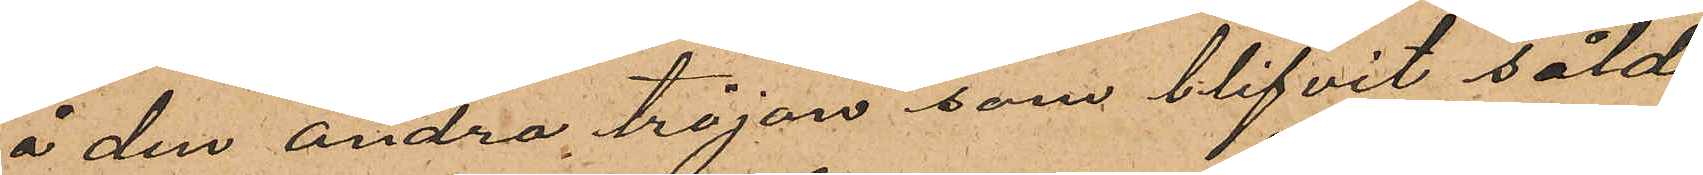å den andra tröjan som blifvit såld
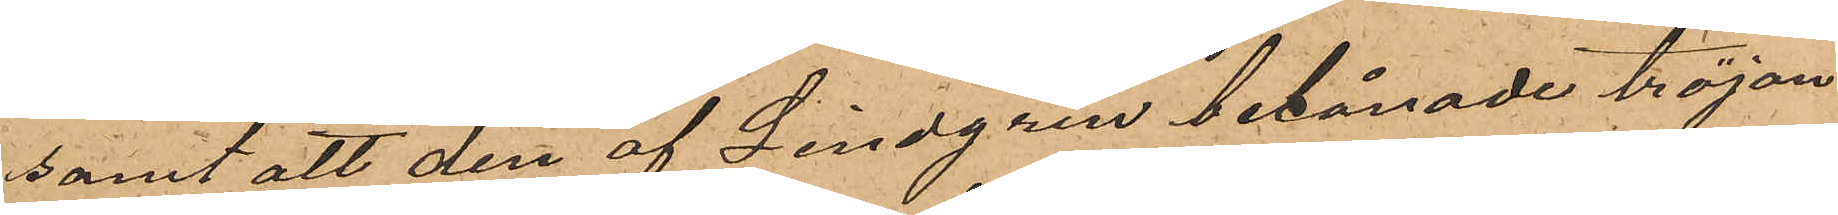samt att den af Lindgren belånade tröjan
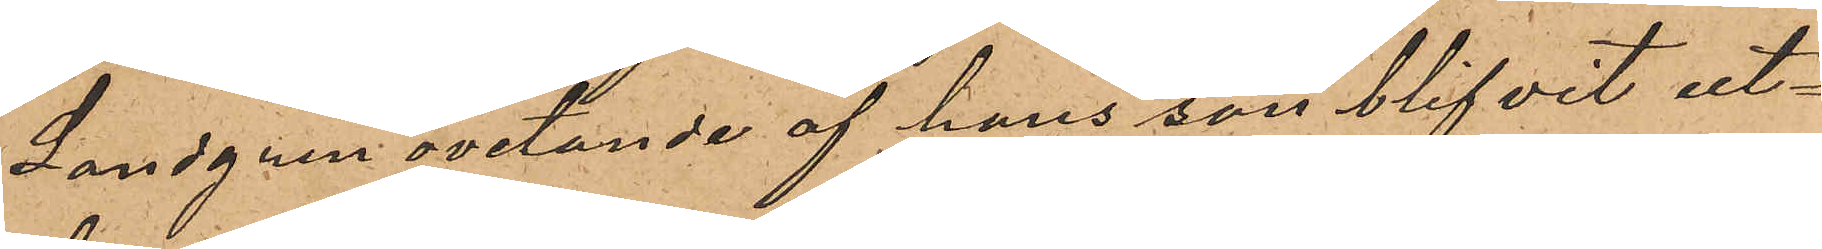Landgren ovetande af hans son blifvit ut¬
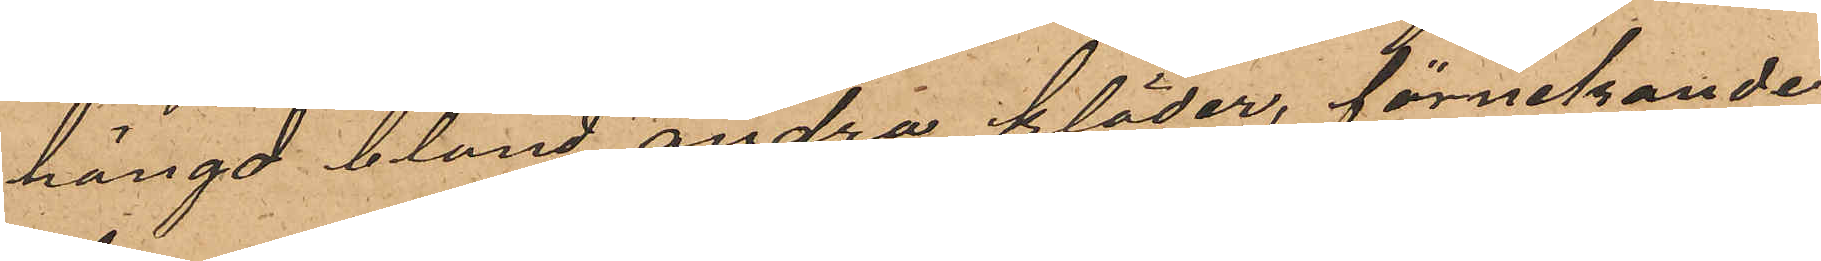hängd bland andra kläder, förnekande
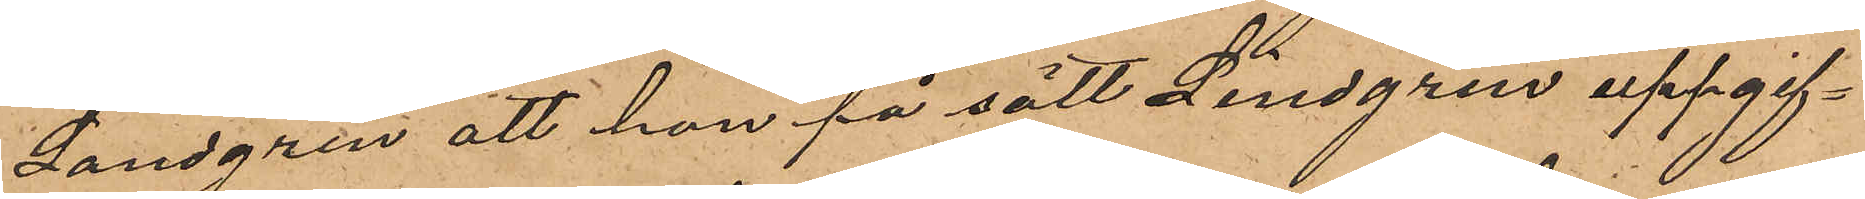Landgren att han på sätt Lindgren uppgif¬
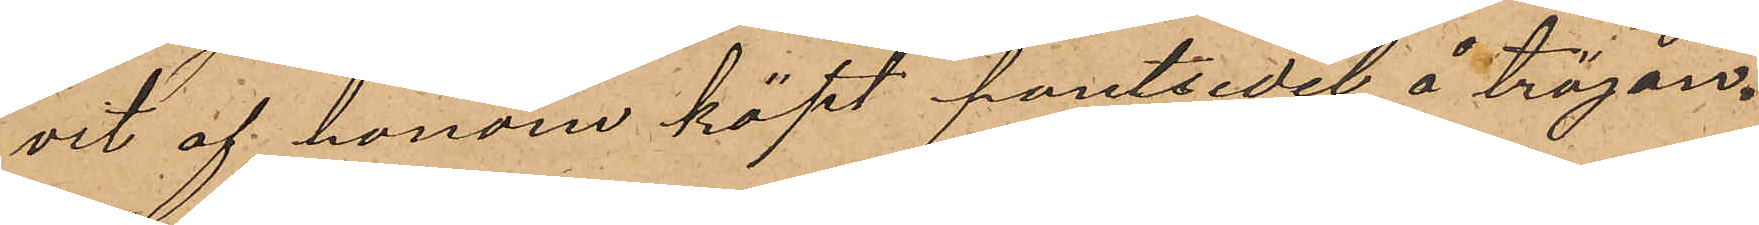vit af honom köpt pantsedel å tröjan.
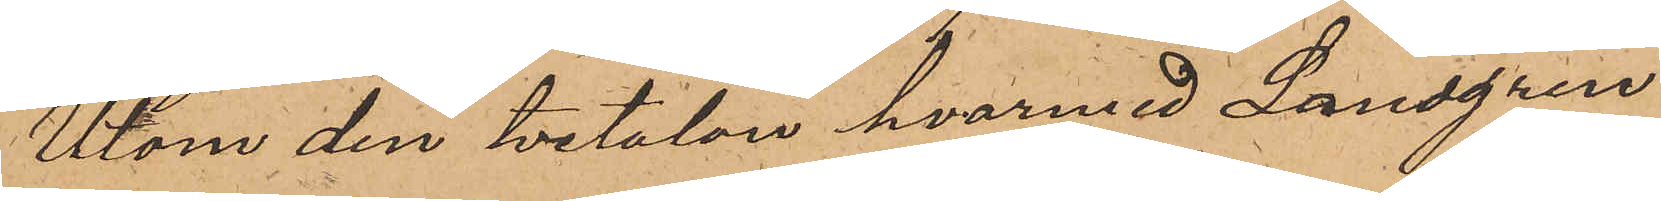Utom den tvetalan hvarmed Landgren
